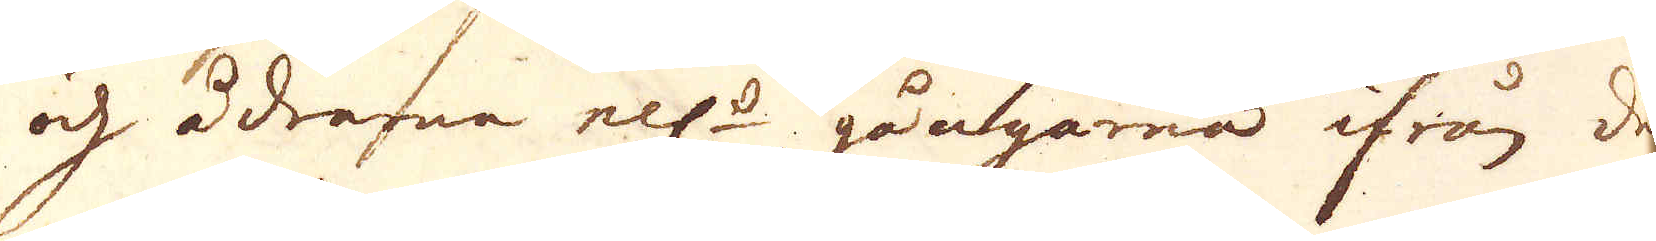och ådrarna ell:r gångarna ifrån den
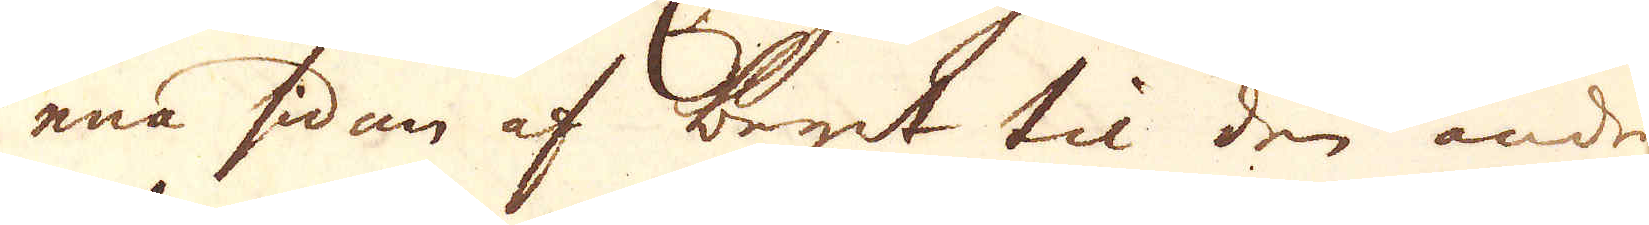ena sidan af begit til den andre
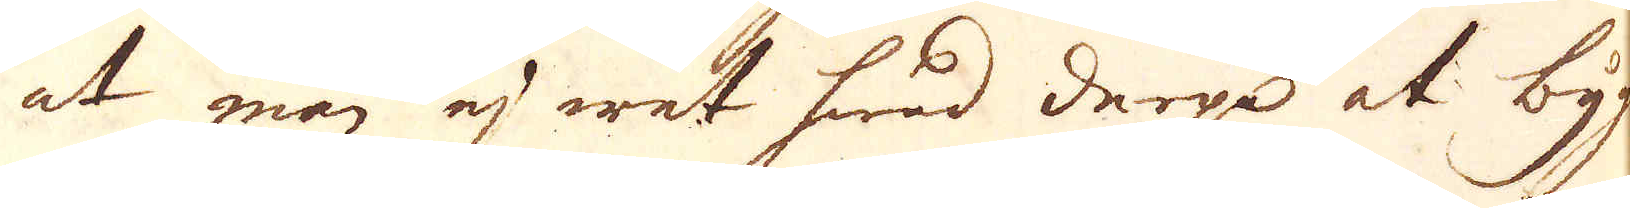at mar ej wet hwad derpå at byg-
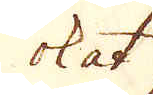ok at
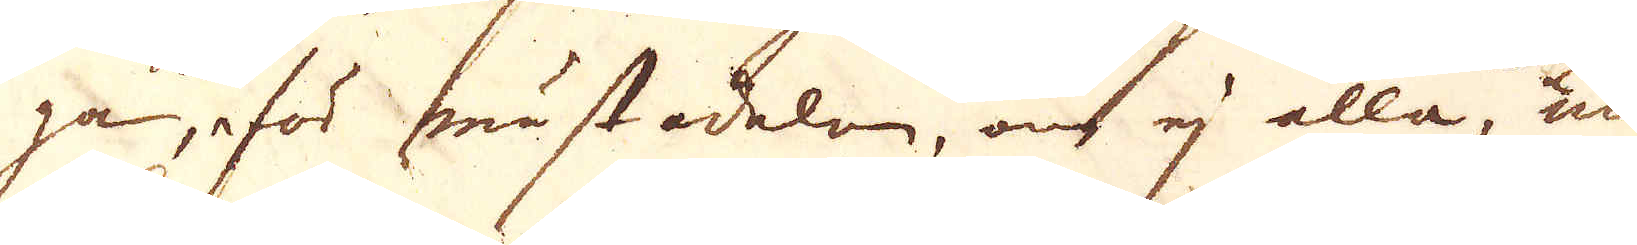ga, eför mästedelen, ock ej alla, man
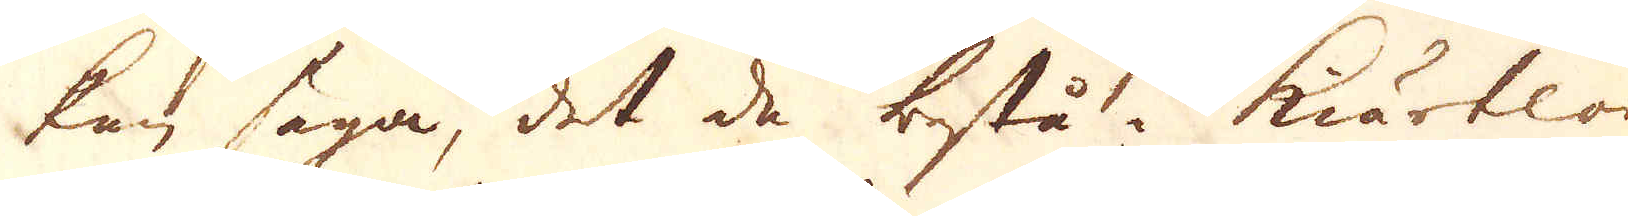kan säga, det de bestå i kiörtlor
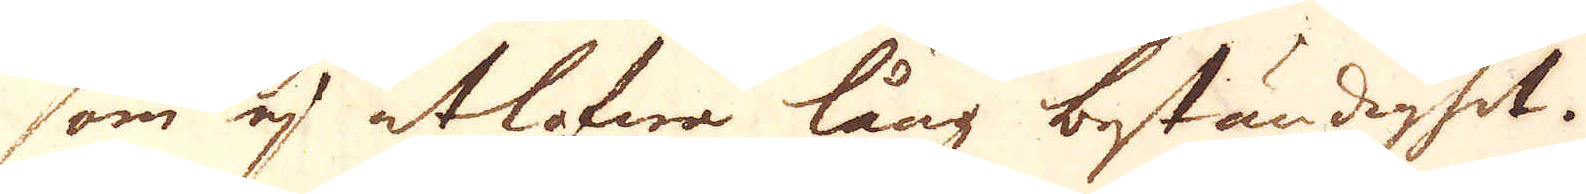som ej utlofwa lång beständighet.
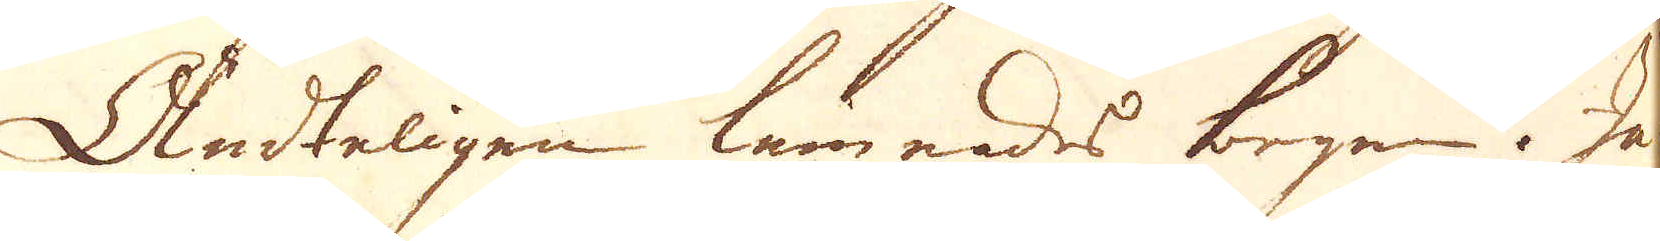Ändteligen lämnades bergen. Jar
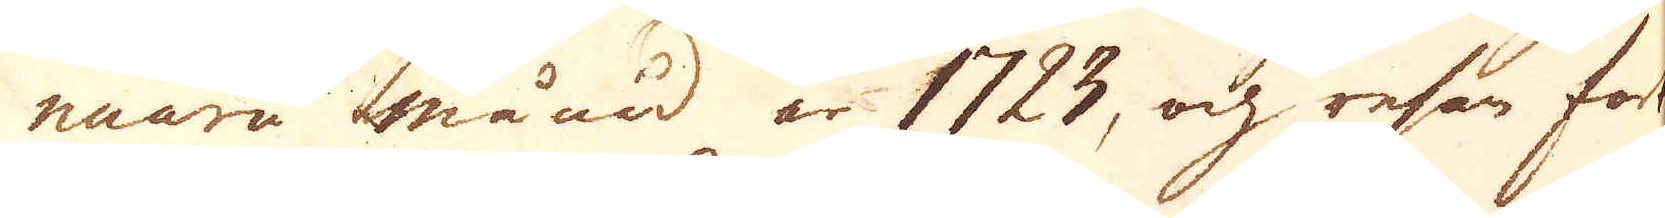nuarii månad år 1723, och resan fort-
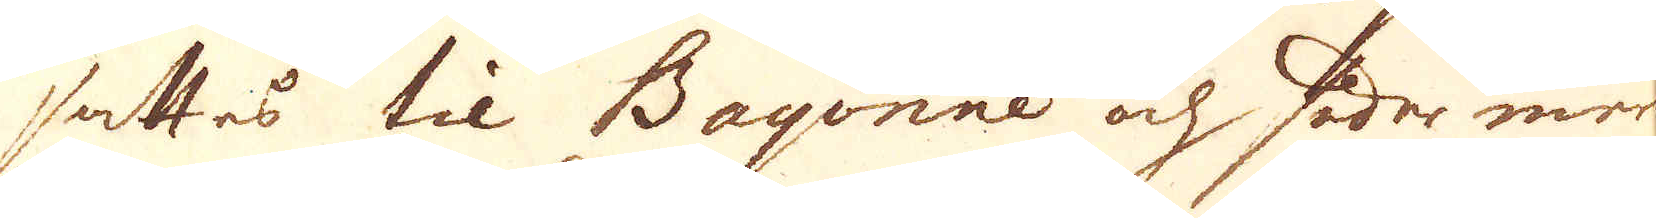ssttes til Bayonne och söder ner
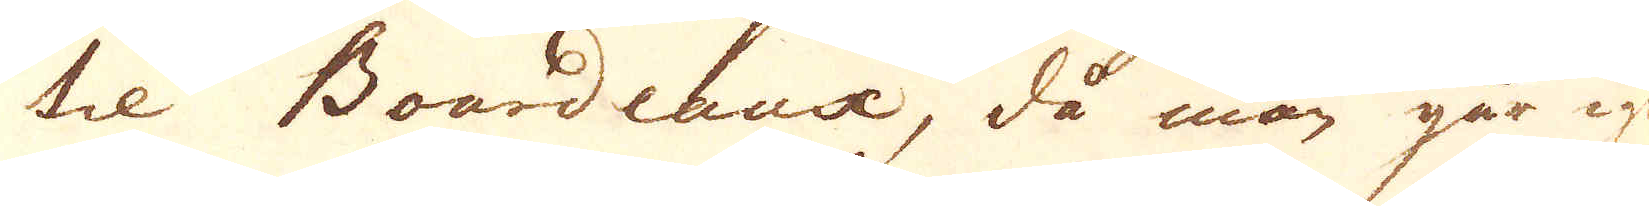til Boardeux, då man går ige-
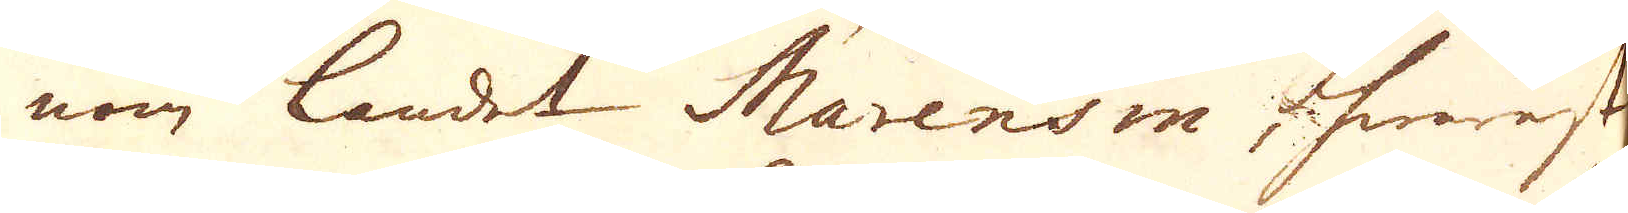nom landet Marensin hwarest
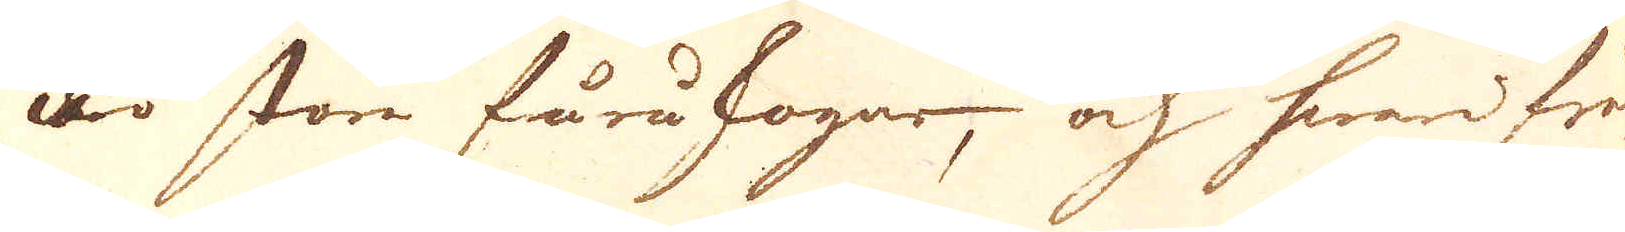äro stora furuskogar, och hwarifrån
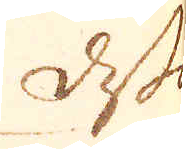dessa
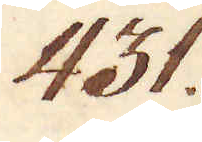431.
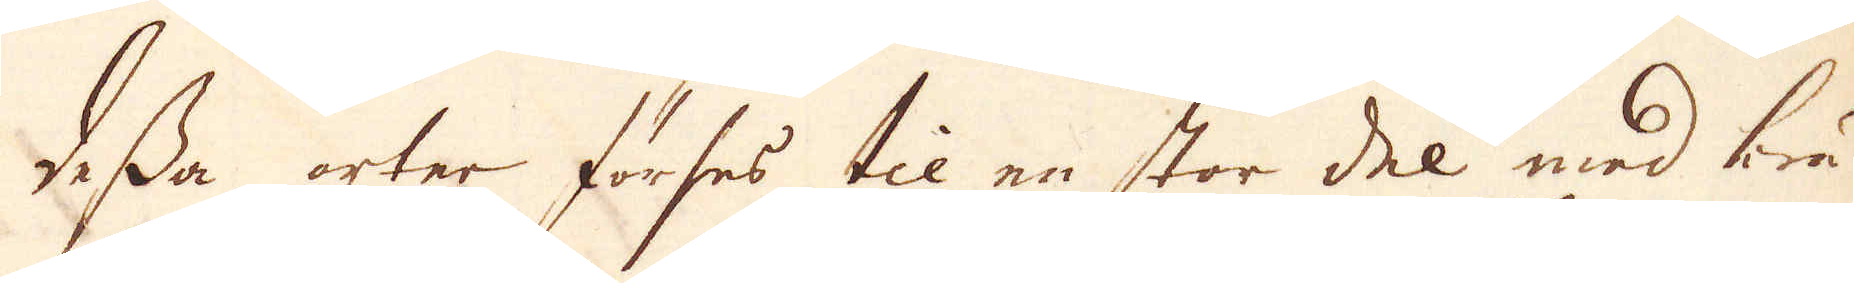dessa orter förses til en stor del med brä-
